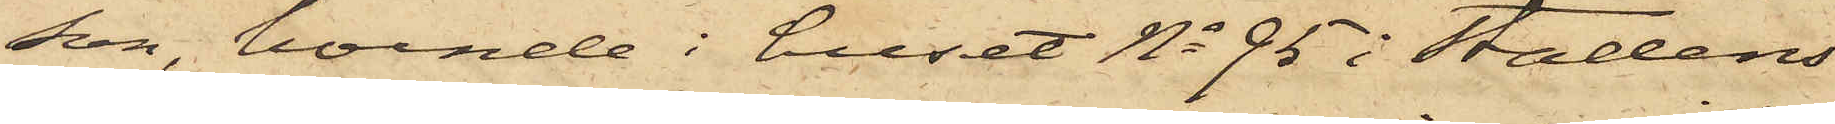son, boende i huset No 95 i Stadens
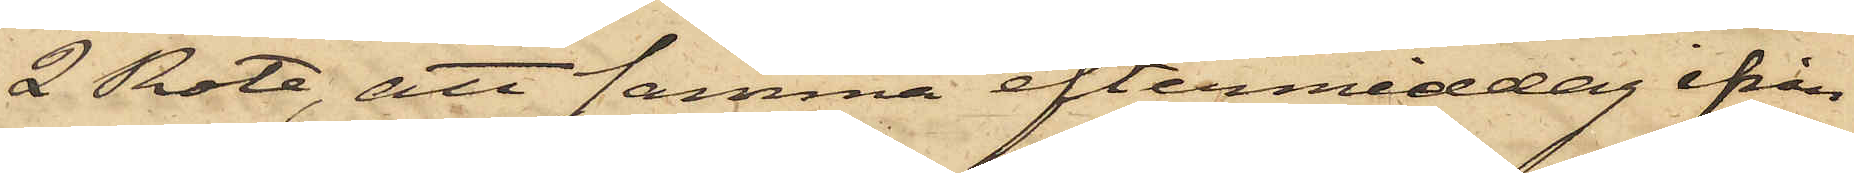2 Rote, att samma eftermiddag ifrån
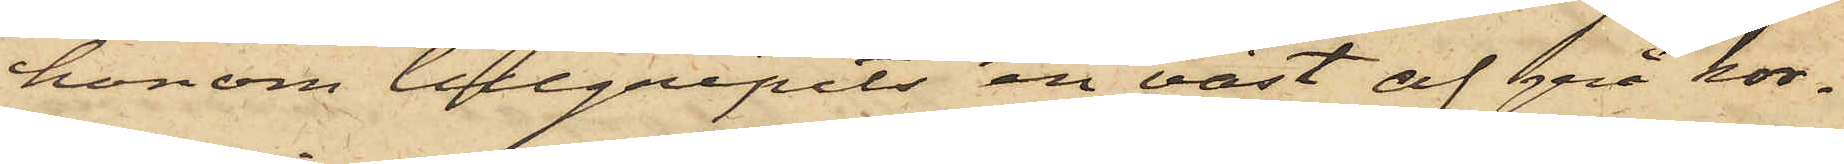honom tillgripits en väst af grå kor¬
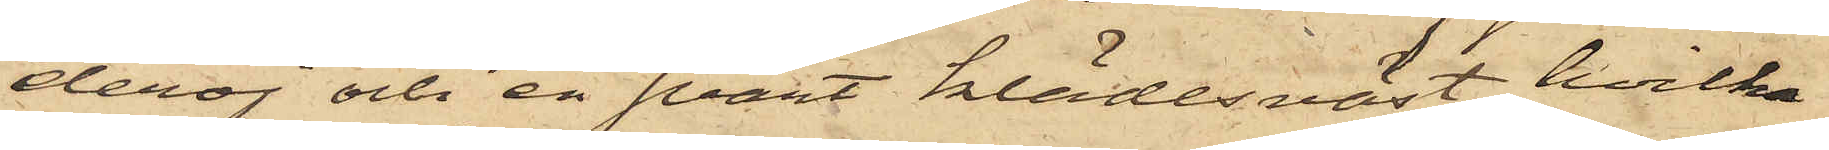deroj och en svart klädesväst, hvilka
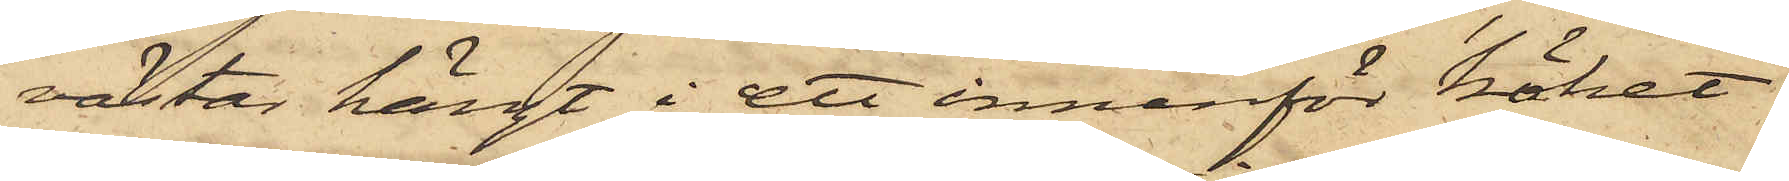västar hängt i ett innanför köket
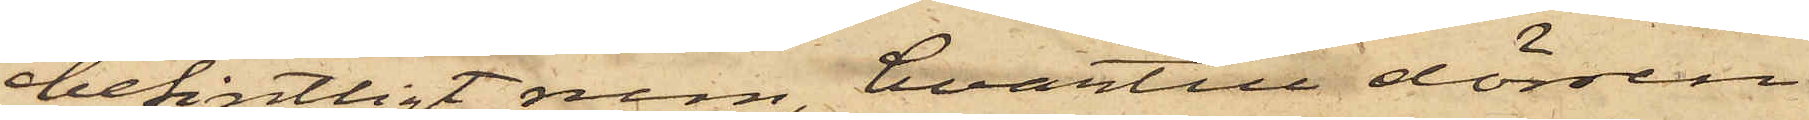befintligt rum, hvartill dörren
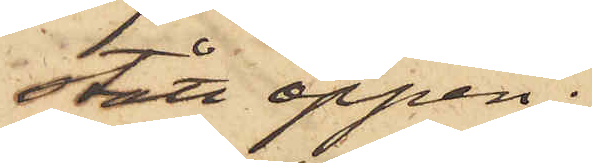stått öppen;
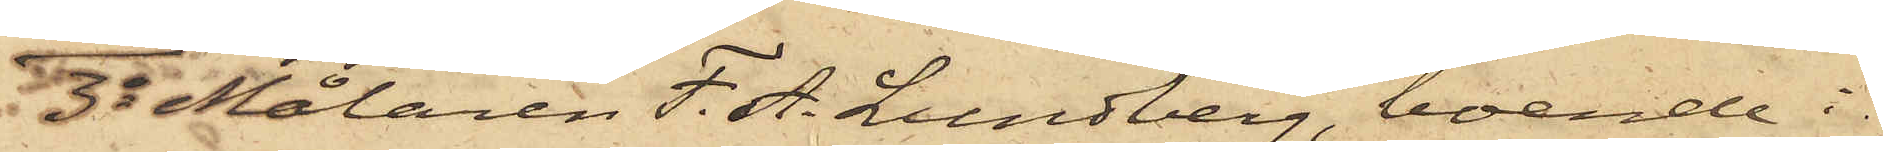3o Målaren F. A. Lundberg, boende i
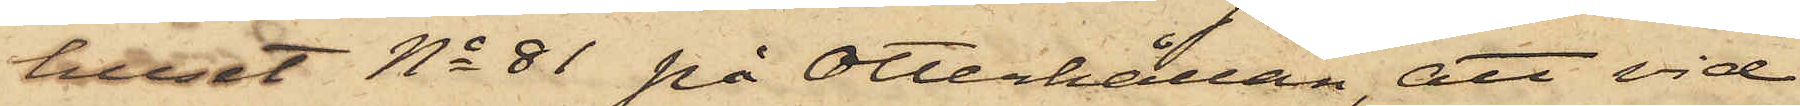huset No 81 på Otterhällan, att vid
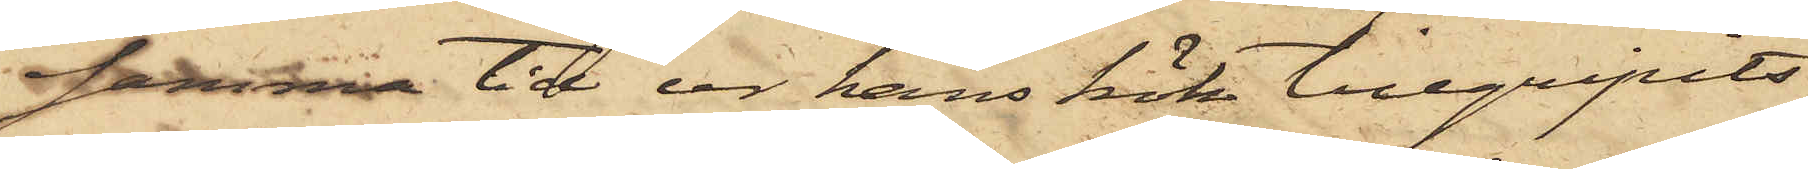samma tid ur hans kök tillgripits
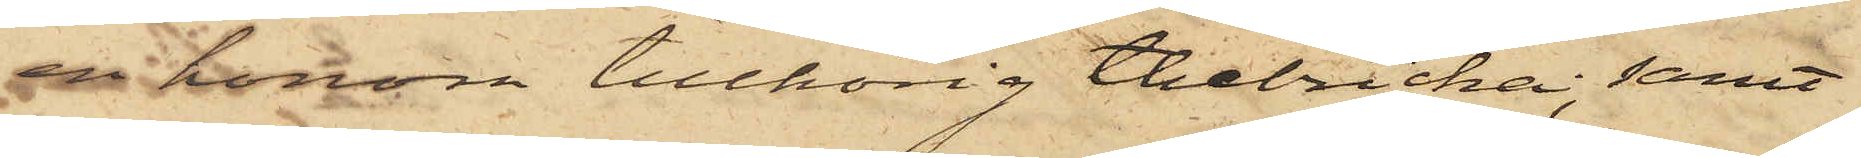honom tillhörig thebricka; samt
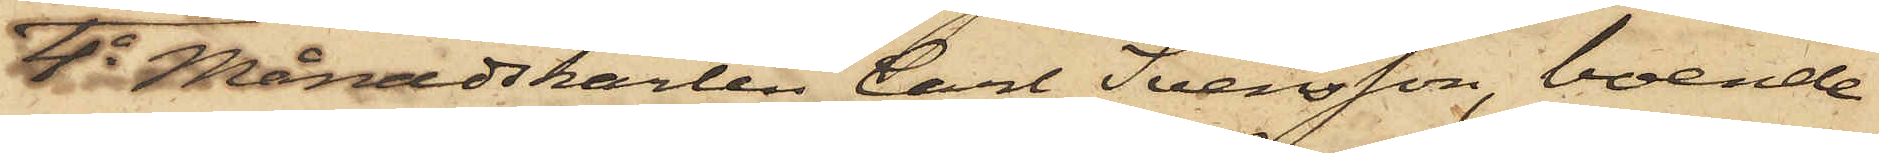4o Månadskarlen Carl Svensson, boende
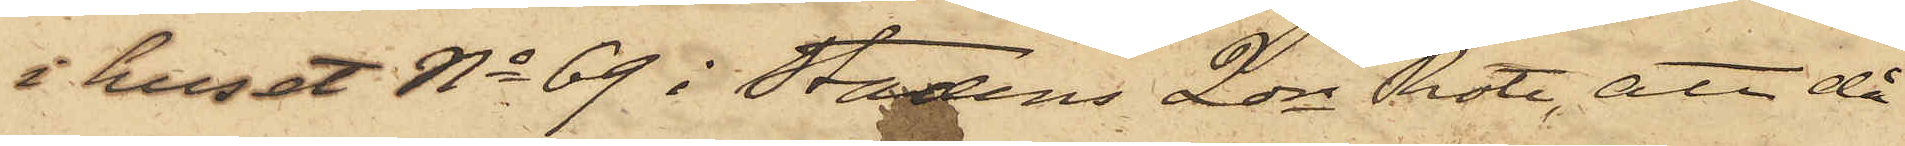i huset No 69 i Stadens 2dre Rote, att då
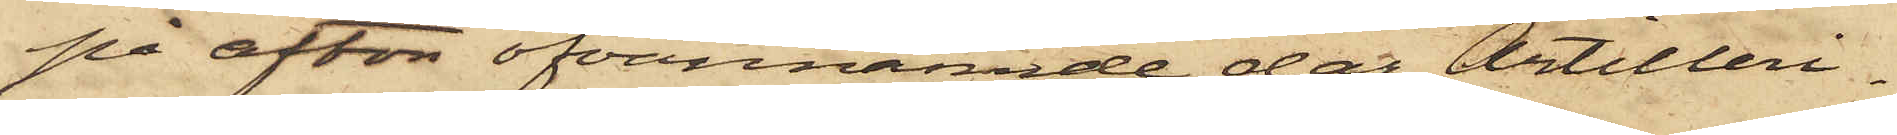på afton ofvannämnde dag Artilleri¬
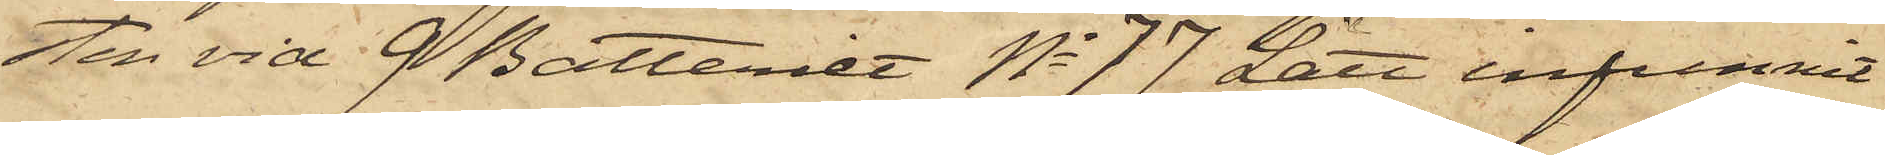sten vid 9 Batteriet No 77 Lätt infunnit
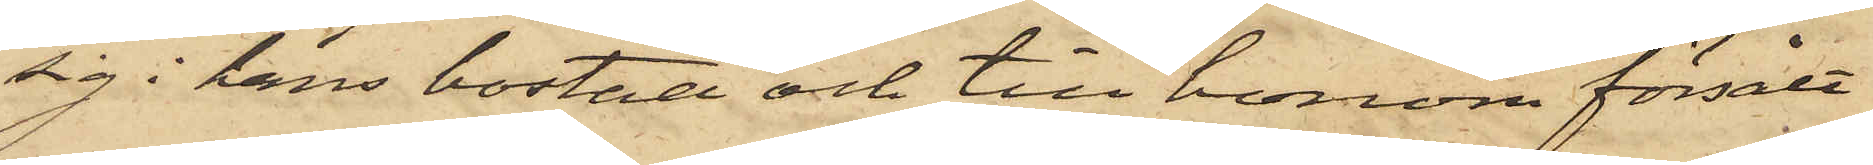sig i hans bostad och till honom försålt
